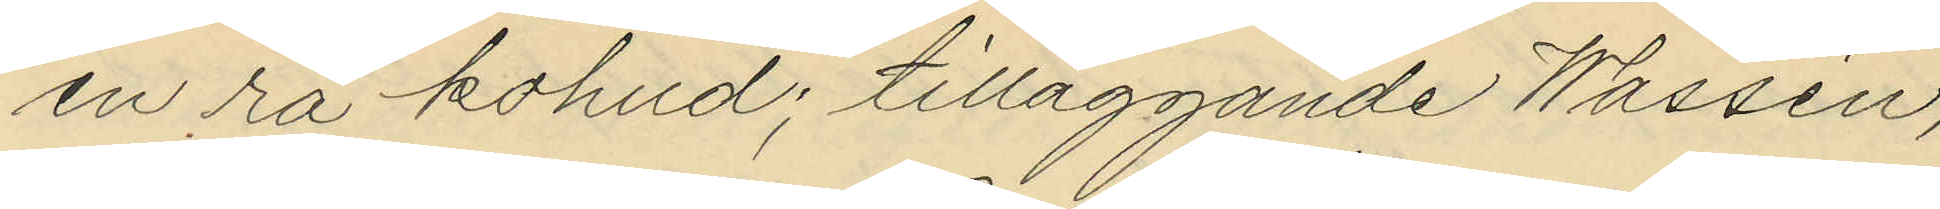en rå kohud; tilläggande Wassén,
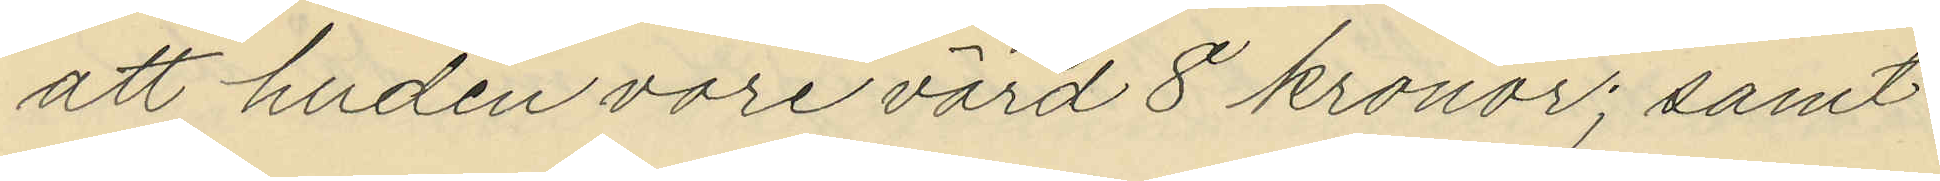att huden vore värd 8 kronor; samt
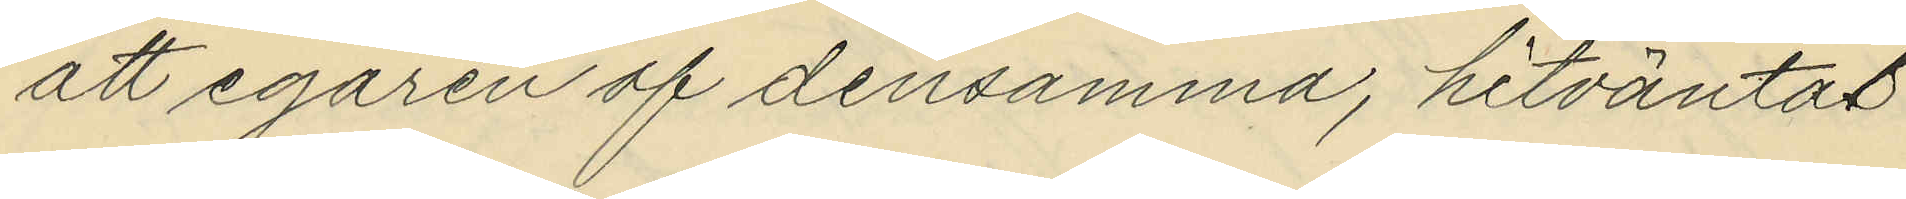att egaren af densamma, hitväntas
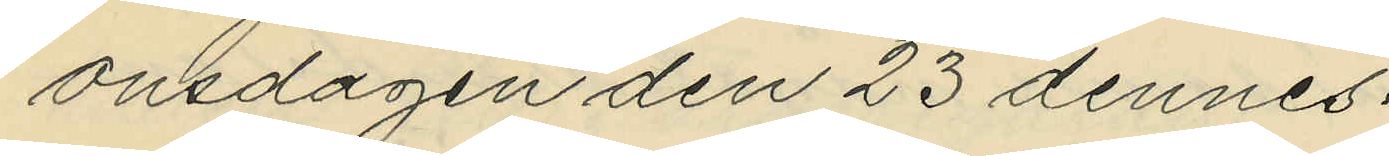onsdagen den 23 dennes.
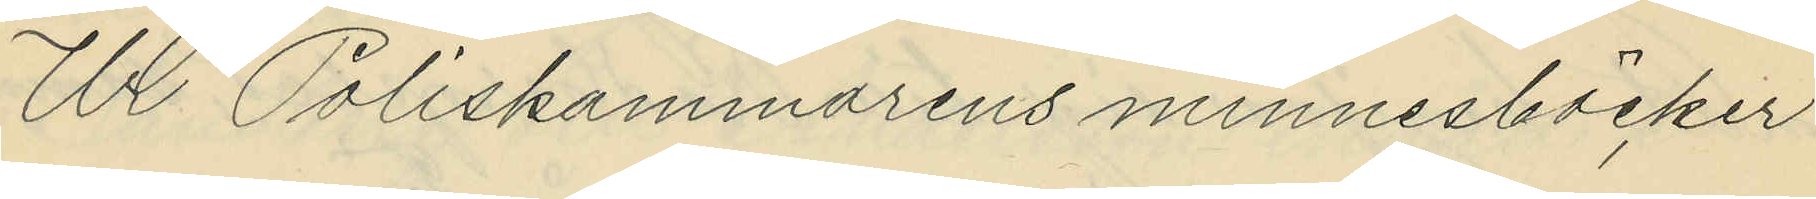Ur Poliskammarens minnesböcker
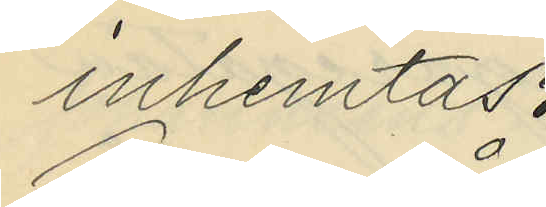inhemtas:
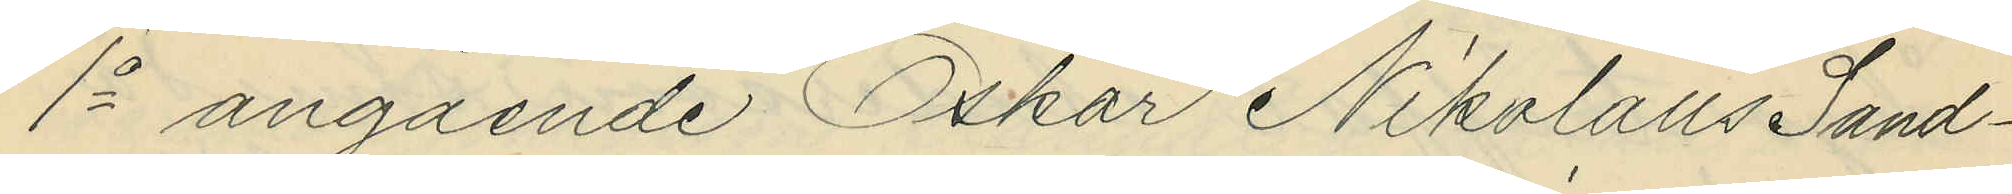1o angående Oskar Nikolaus Sand¬
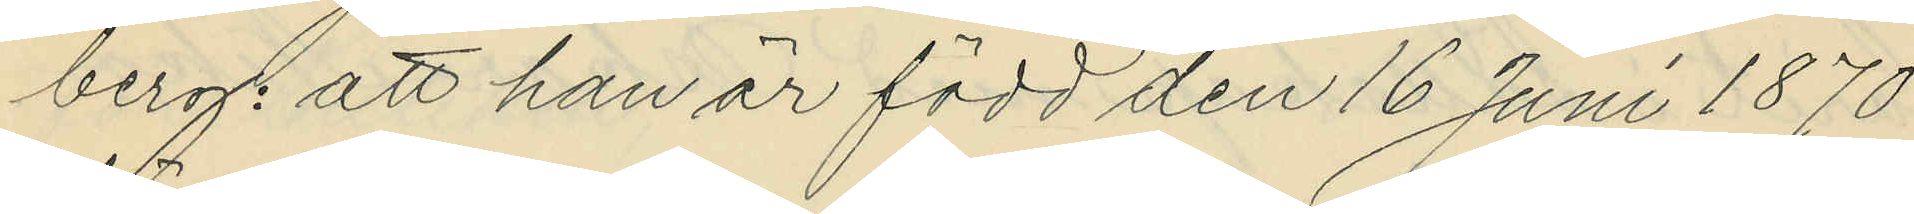berg: att han är född den 16 Juni 1870
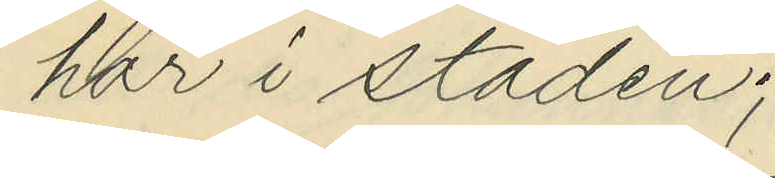här i staden;
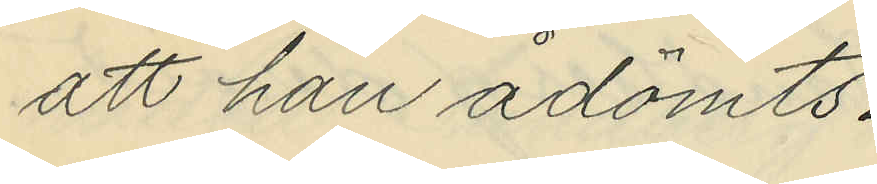att han ådömts:
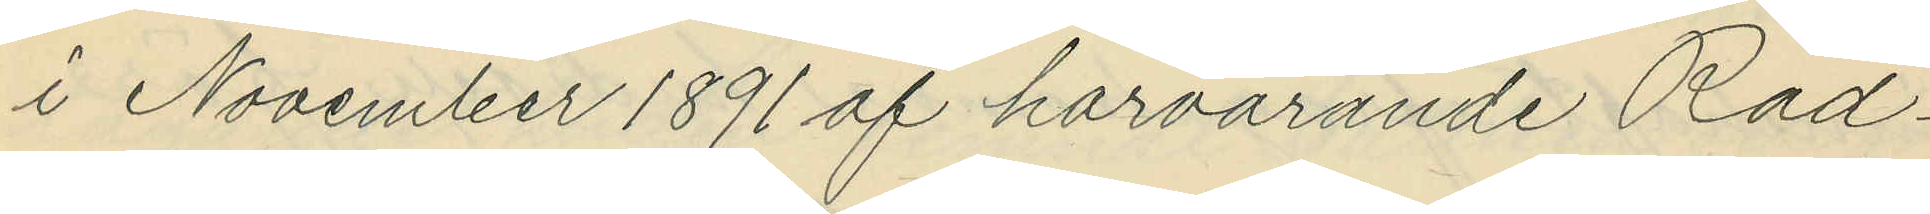i November 1891 af härvarande Råd¬
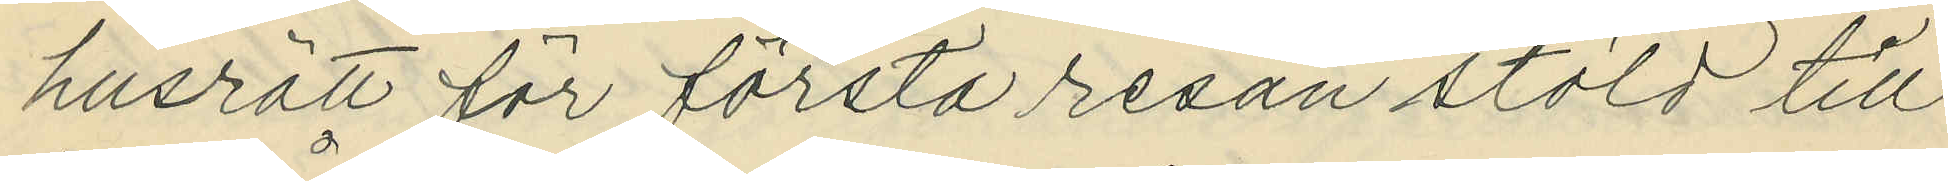husrätt för första resan stöld till
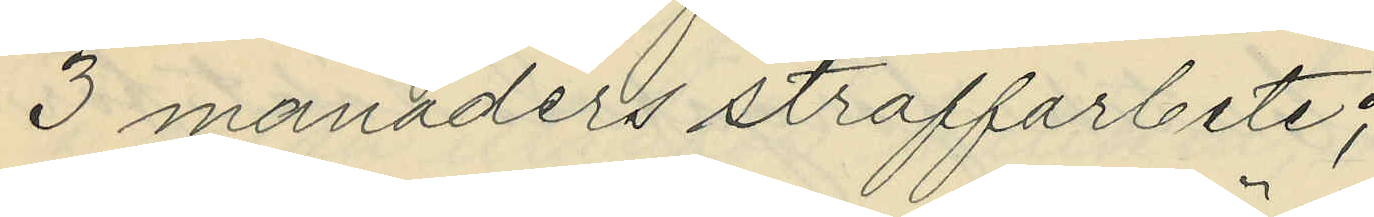3 månaders straffarbete;
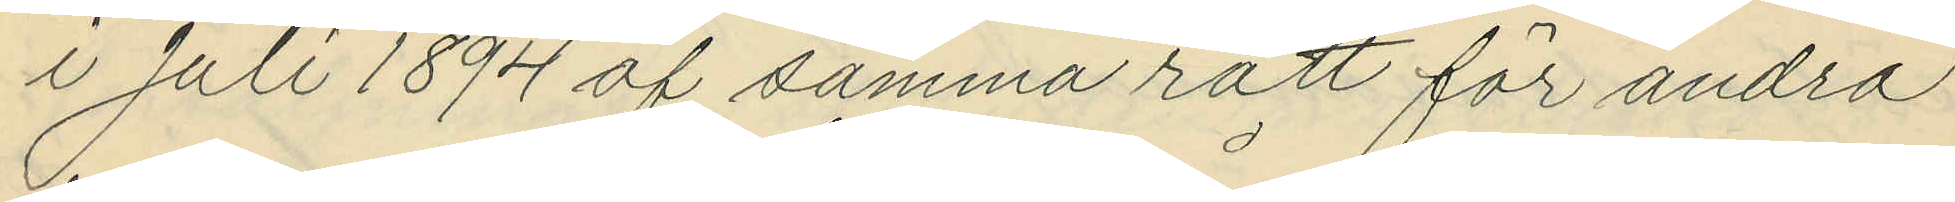i Juli 1894 af samma rätt för andra
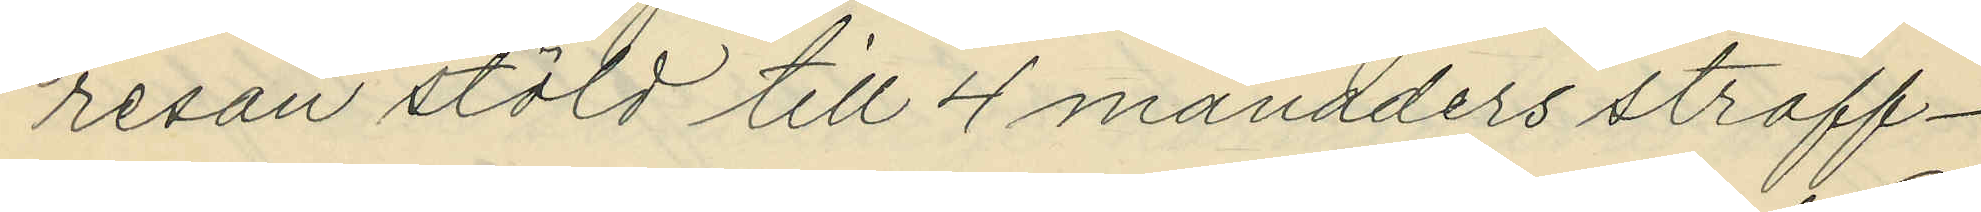resan stöld till 4 månaders straff¬
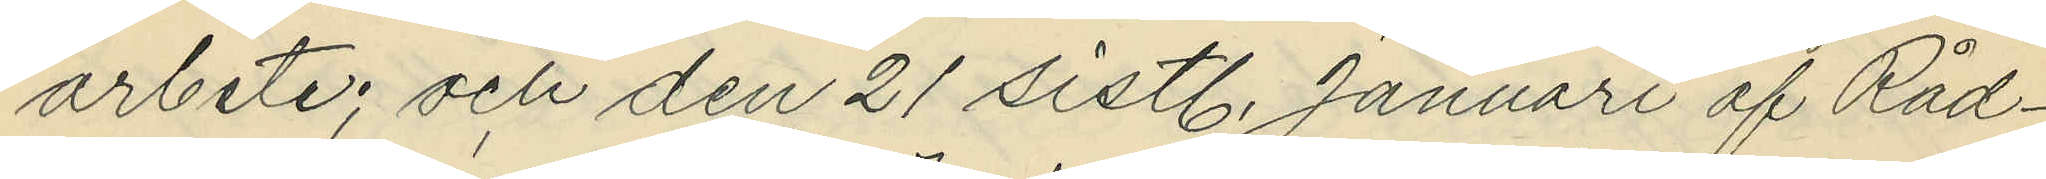arbete; och den 21 sistl. Januari af Råd¬
